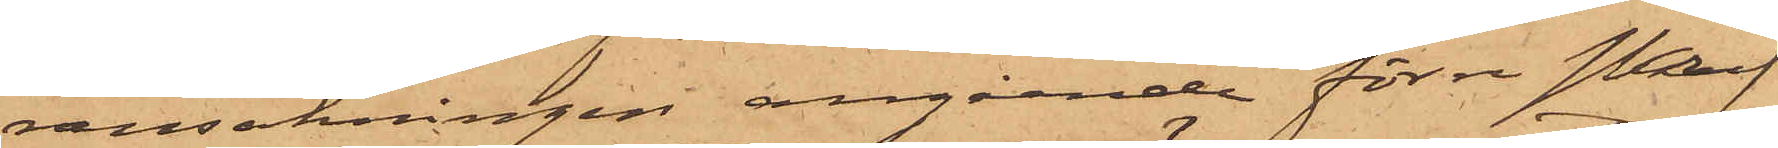ransakningen angående förre Skrif¬
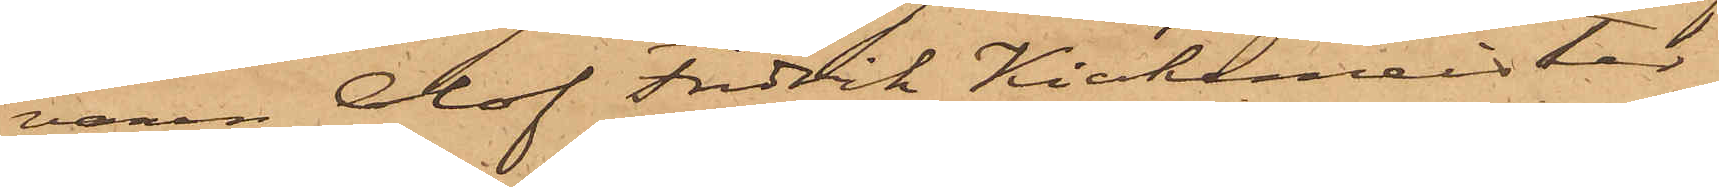varen Olof Fredrik Kiökemeister
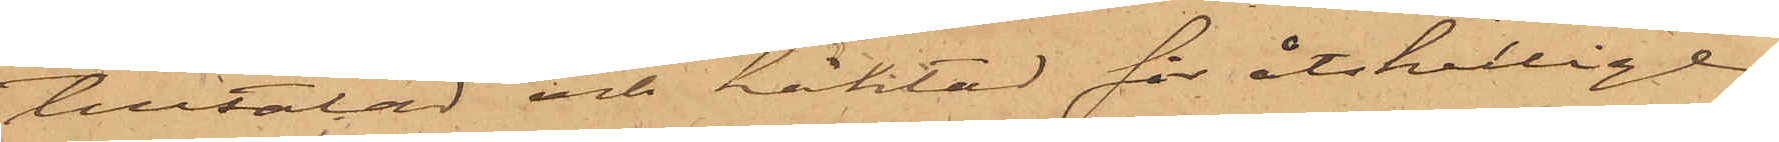tilltalad och häktad för åtskillige
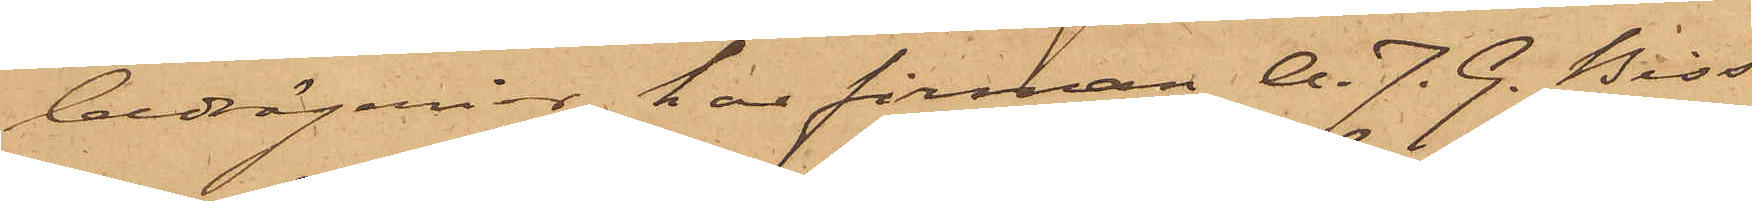bedrägerier, hos firman A. J. G. Biss¬
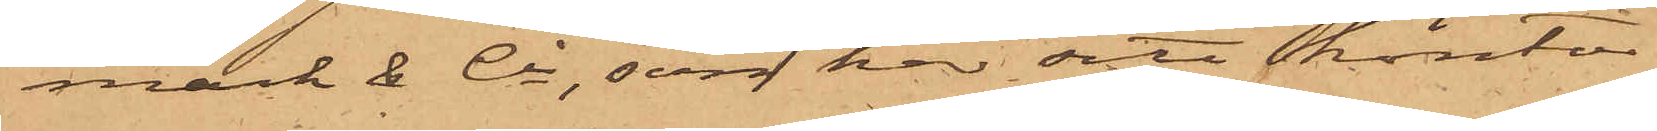mark & Co, som har sitt kontor
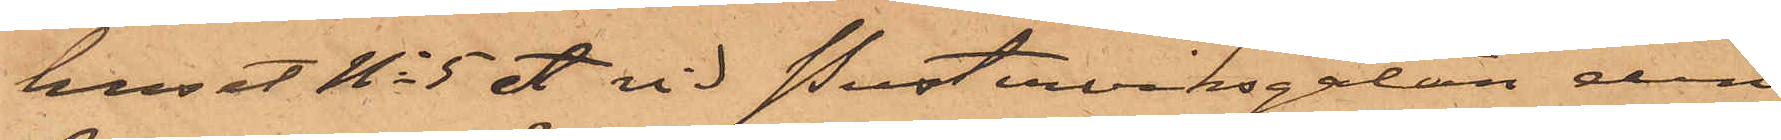huset No 5 A vid Pusterviksgatan den
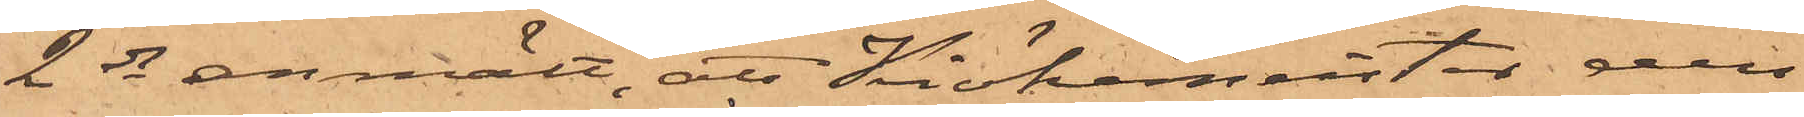2 ds anmält, att Kiökemeister den
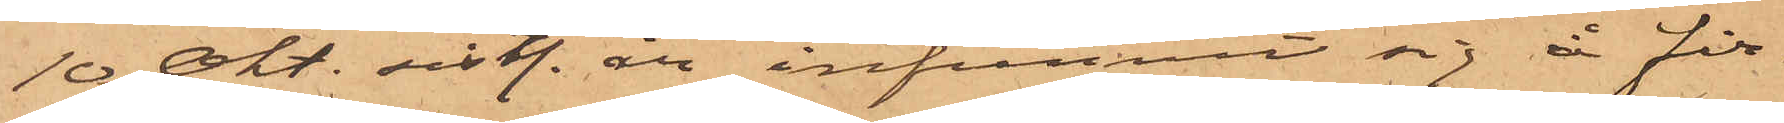10 Okt. sistl. år infunnit sig å fir¬
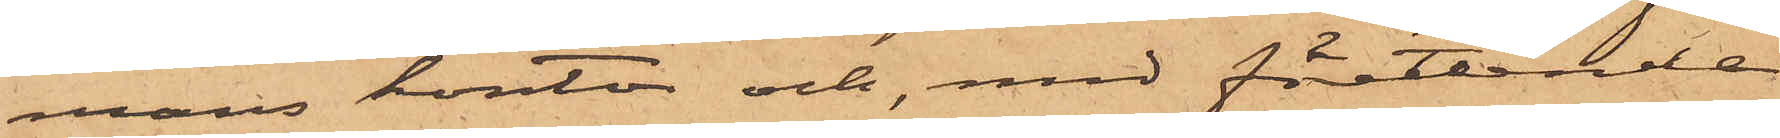mans kontor och med företeende
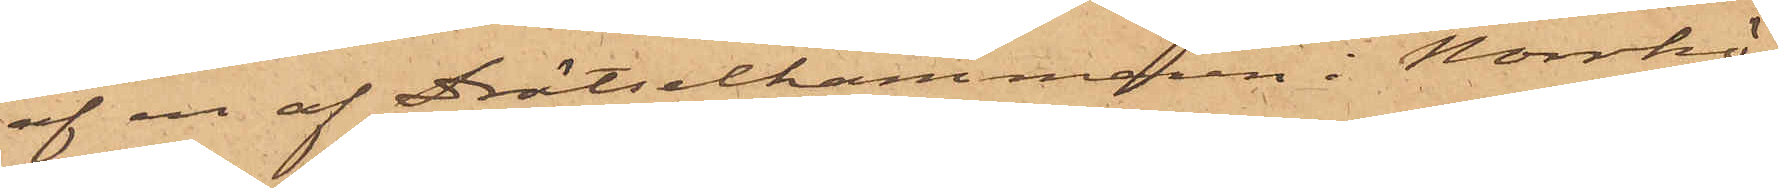af en af Drätselkammaren i Norrkö¬
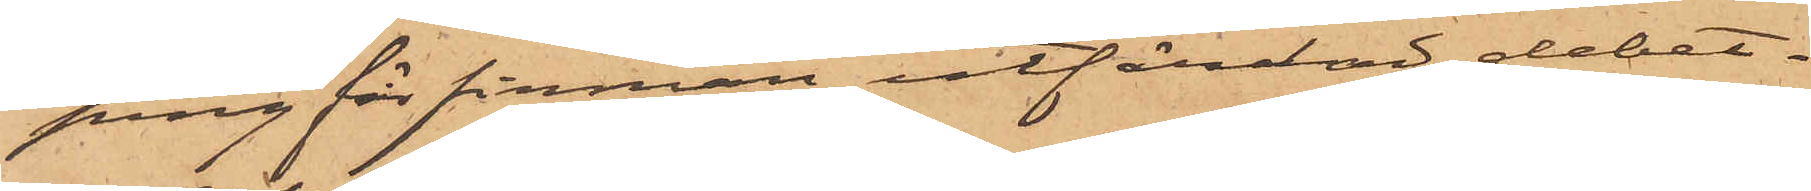ping för firman utfärdad debet¬
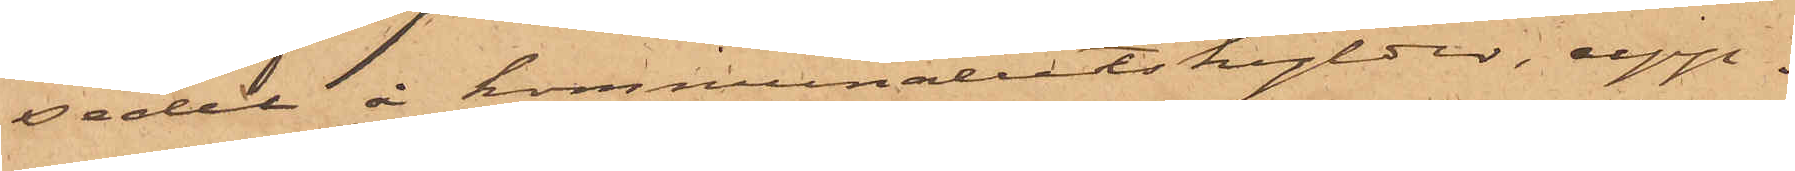sedel å kommunalutskylder, upp¬
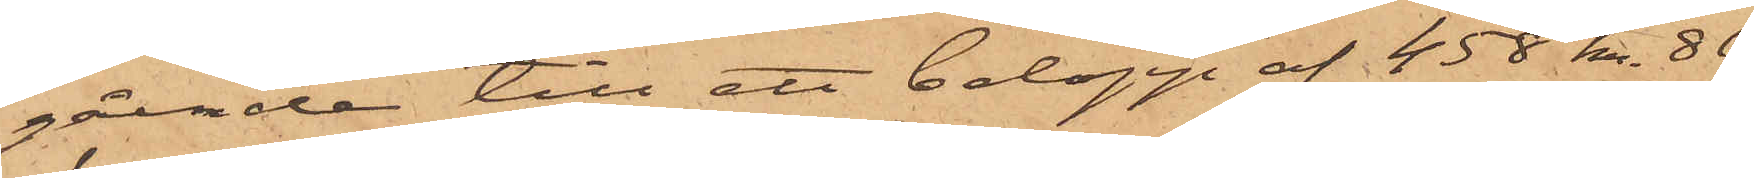gående till ett belopp af 458 kr. 86
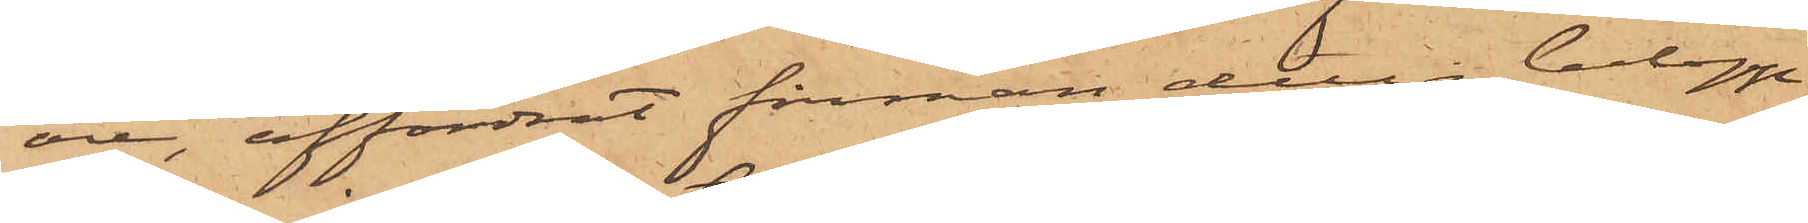öre, affordrat firman detta belopp,
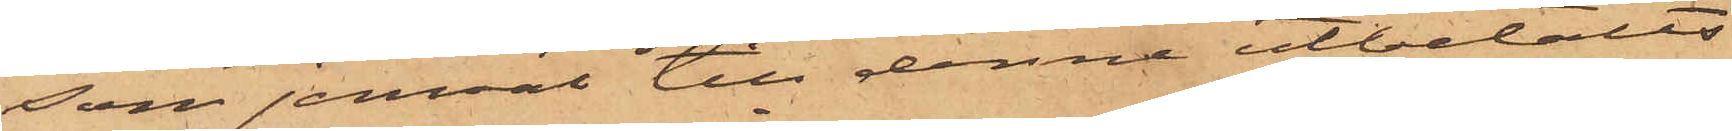som jemväl till denne utbetalts
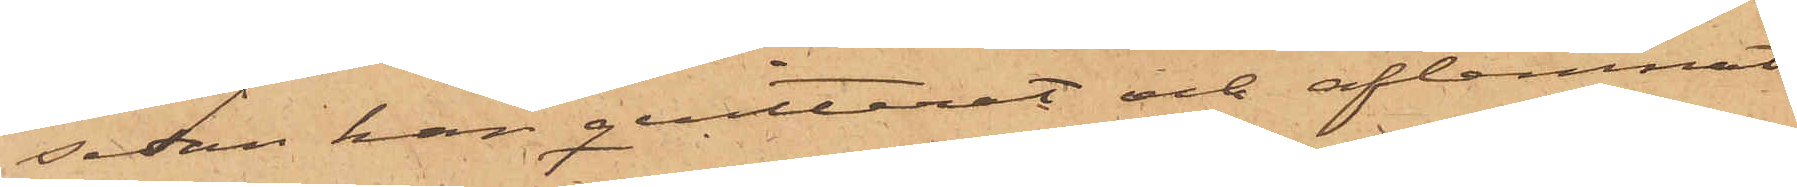sedan han qvitterat och aflemnat
